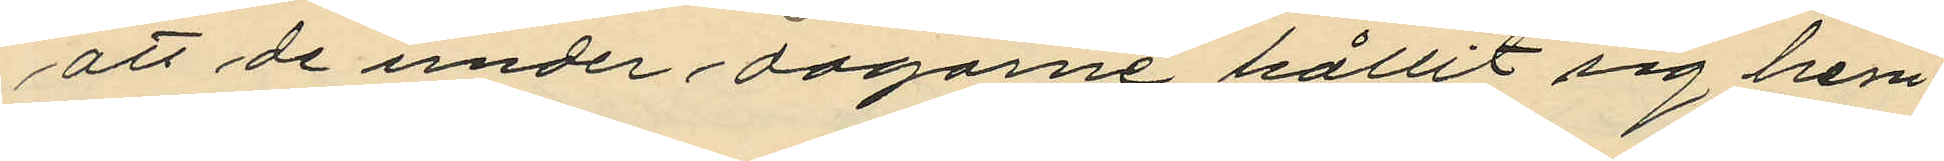att de under dagarne hållit sig hem¬
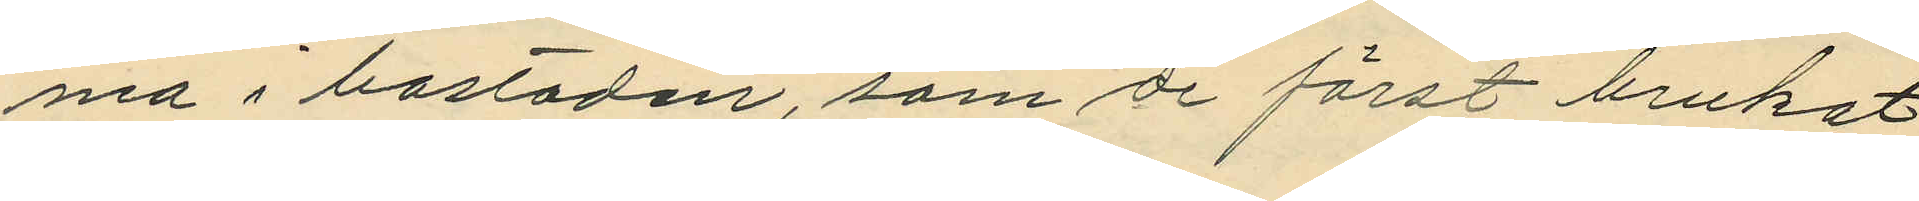ma i bostaden, som de först brukat
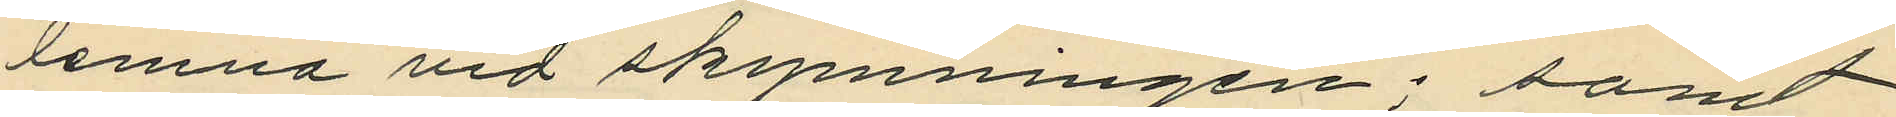lemna vid skymningen; samt
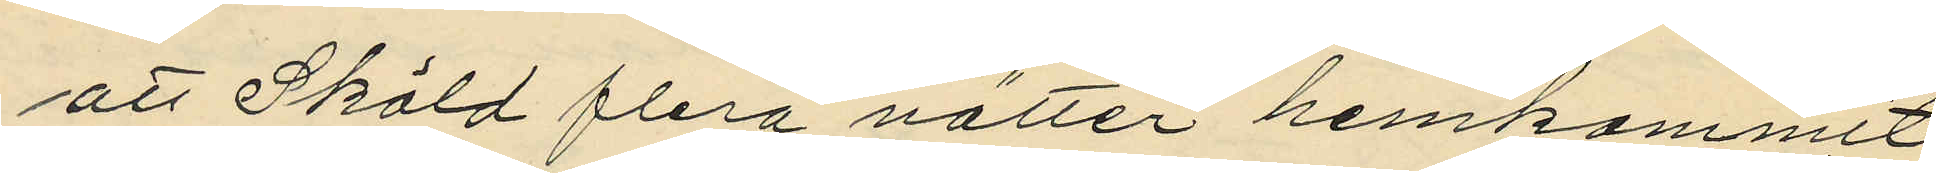att Sköld flera nätter hemkommit
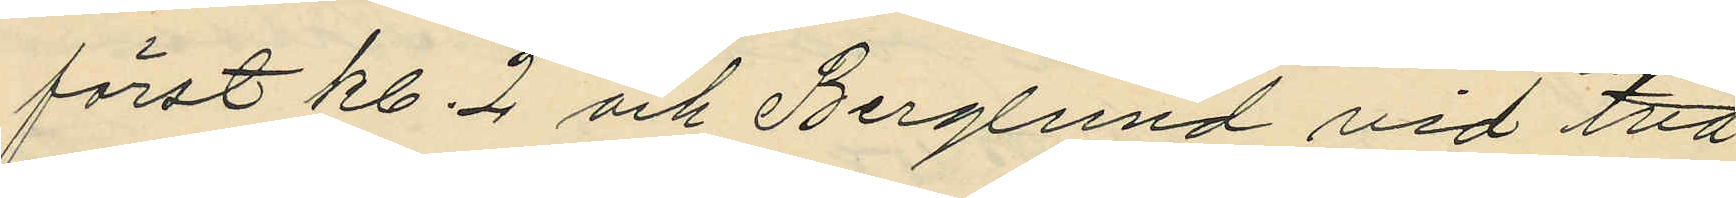först kl. 2 och Berglund vid två
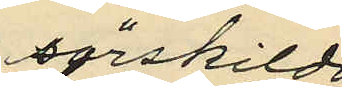särskilda
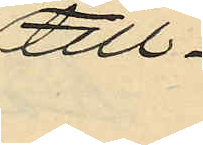till¬
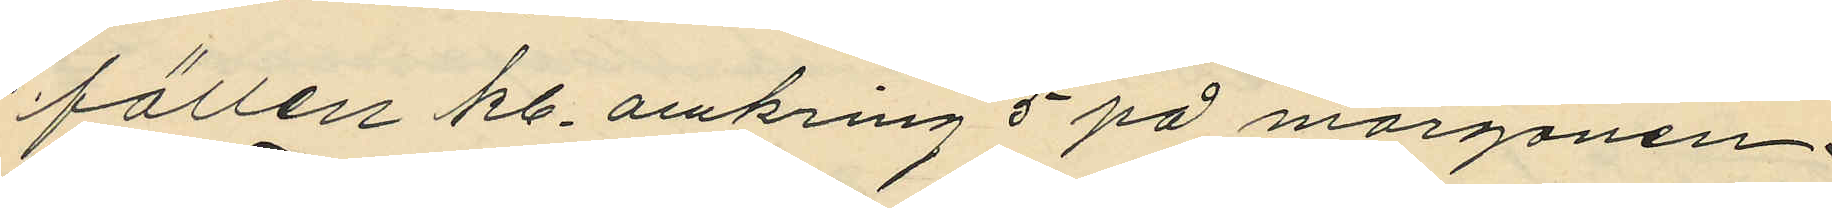fällen kl. omkring 5 på morgonen.
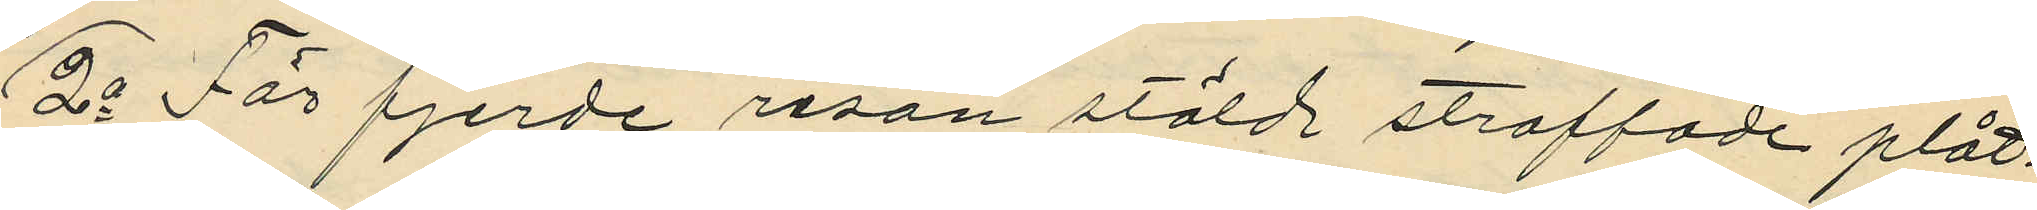2o För fjerde resan stöld straffade plåt¬
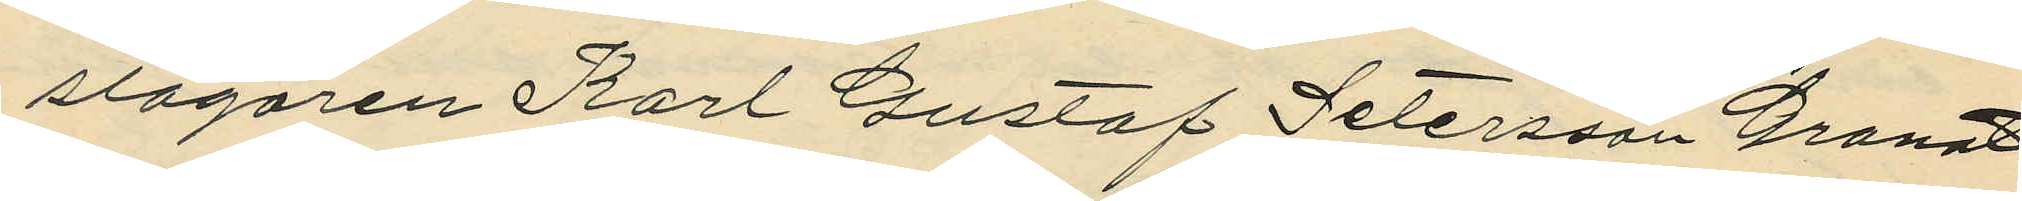slagaren Karl Gustaf Petersson Granat
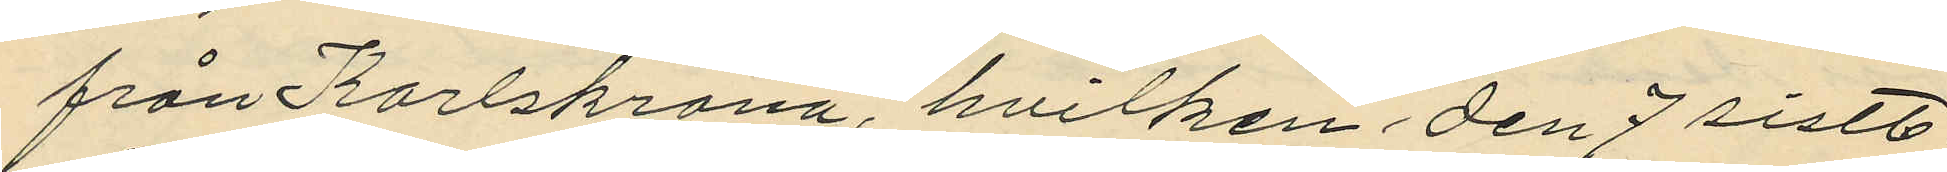från Karlskrona, hvilken den 7 sistl.
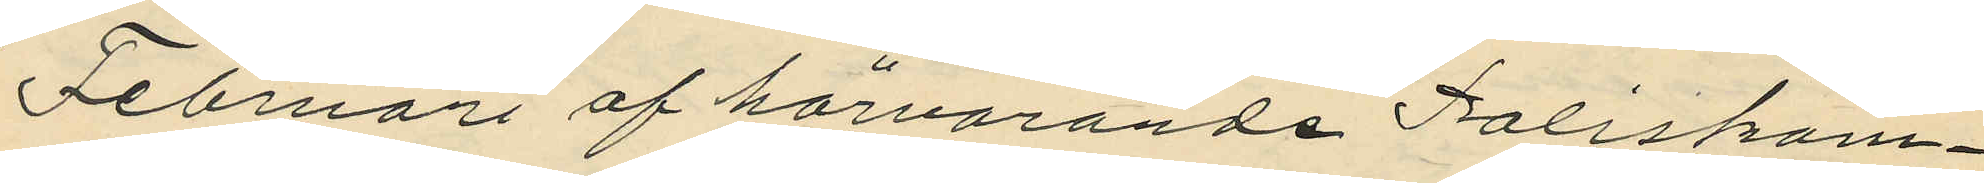Februari af härvarande Poliskam¬
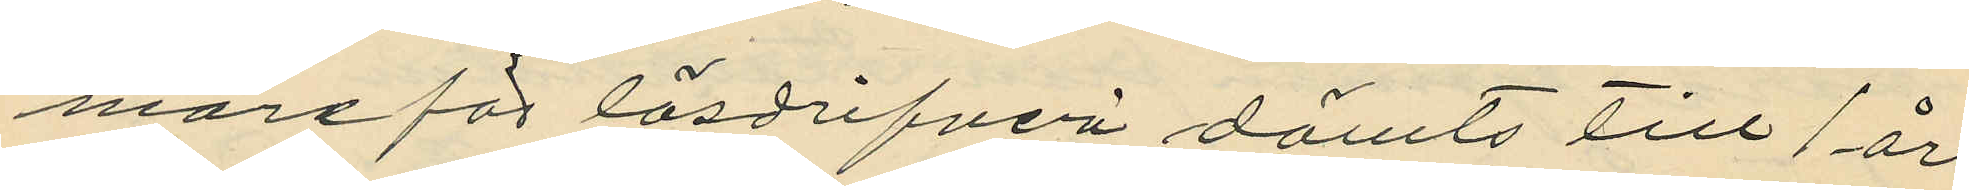mare för lösdrifveri dömts till 1 års
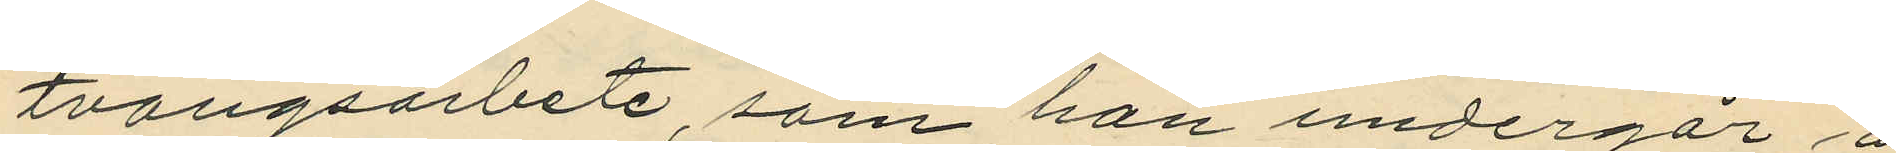tvångsarbete, som han undergår å
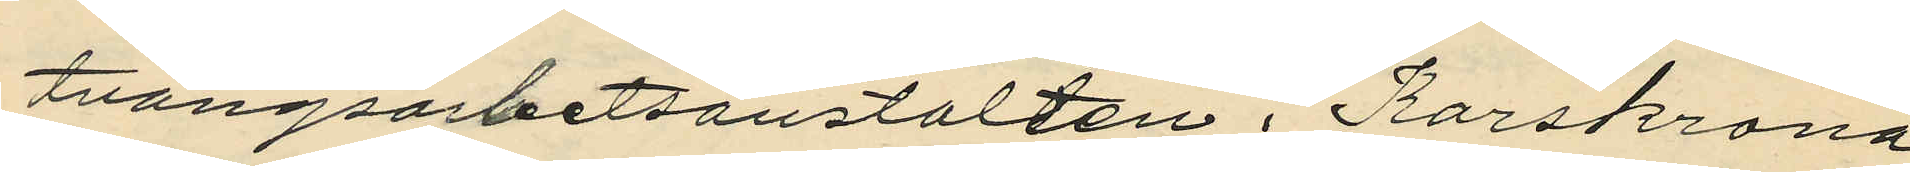tvångsarbetsanstalten i Karlskrona
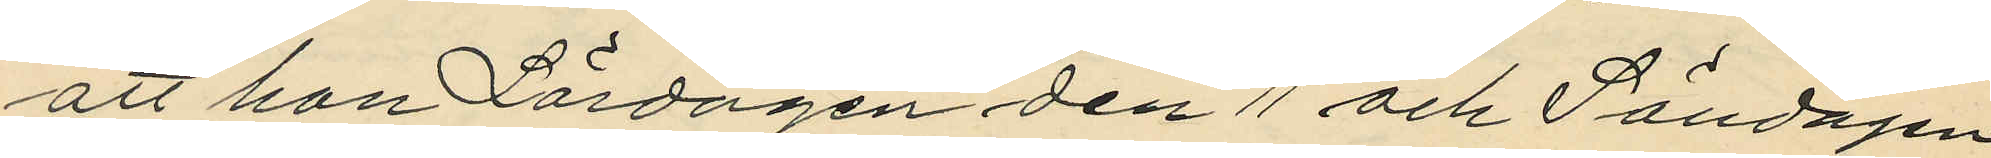att han Lördagen den 11 och Söndagen 
